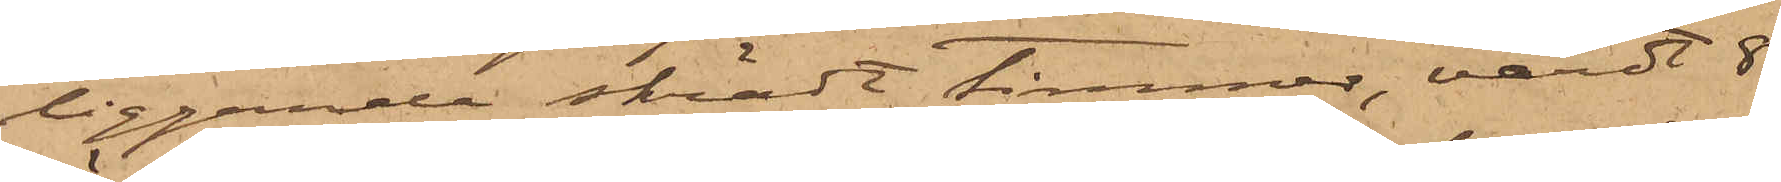liggande skrädt timmer, värdt 8
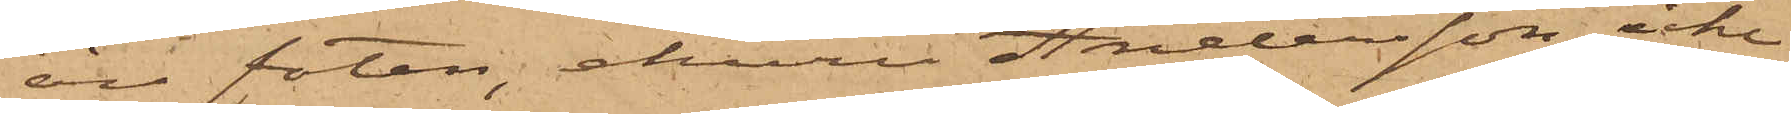öre foten, ehuru Andersson icke
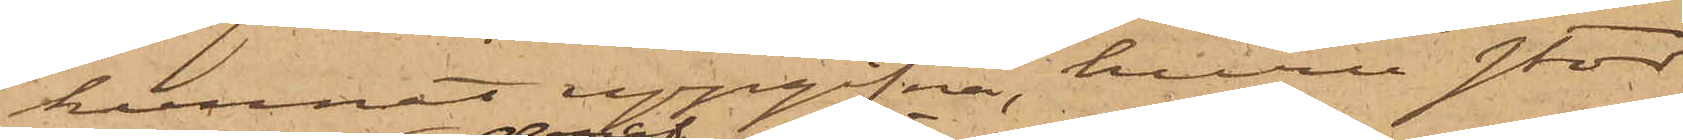hunnat uppgifva, huru stor
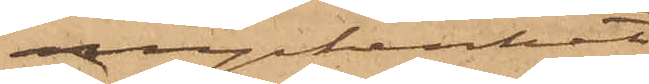myckenhet
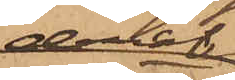deraf
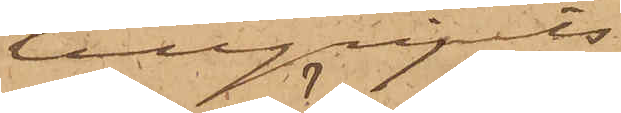tillgripits.
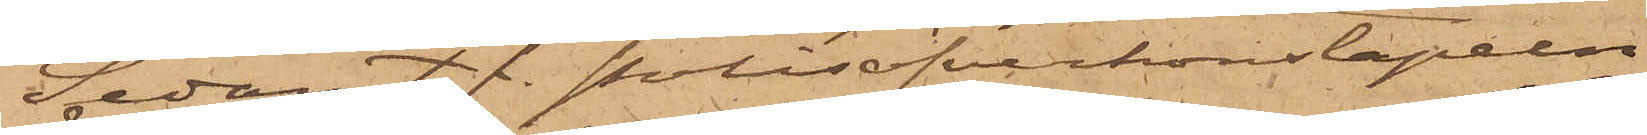Sedan t. f. Polisöfverkonstapeln
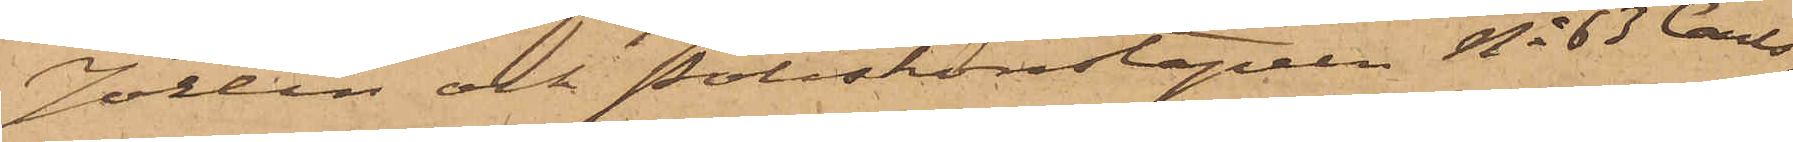Jörlin och Poliskonstapeln No 63 Carls¬
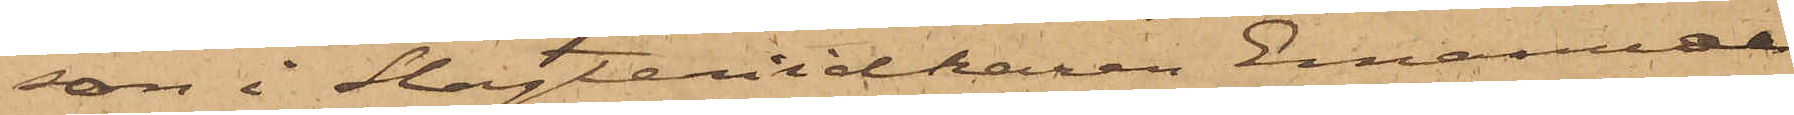son i Slagteriidkaren Emanuel
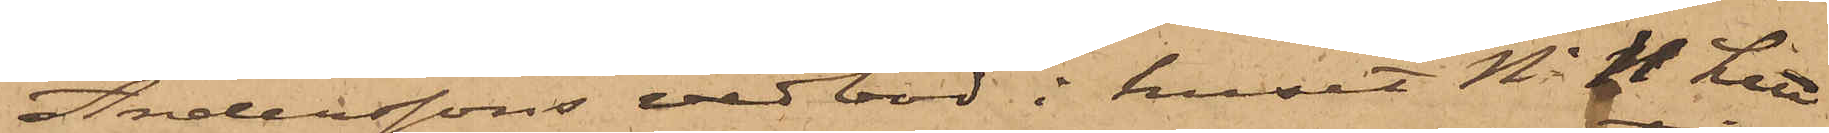Anderssons vedbod i huset No 11 Litt
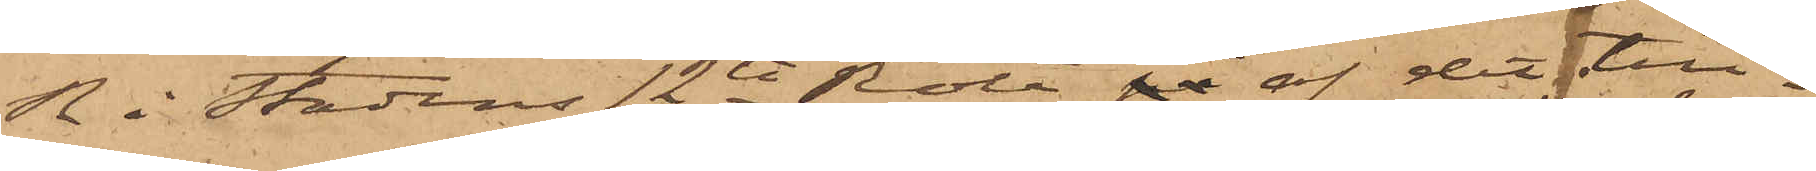R i Stadens 12te Rote på af det till¬
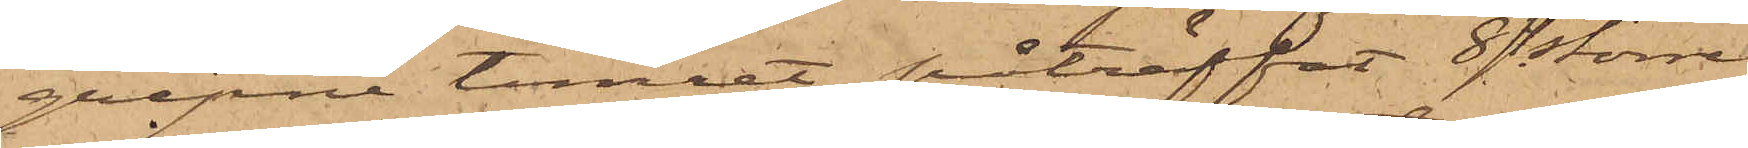gripne timret påträffat 8 större
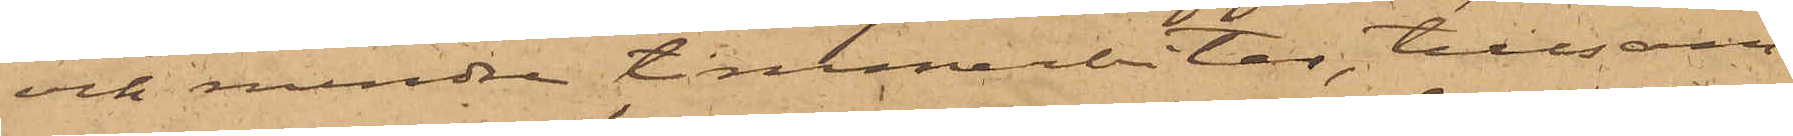och mindre timmerbitar, tillsam¬
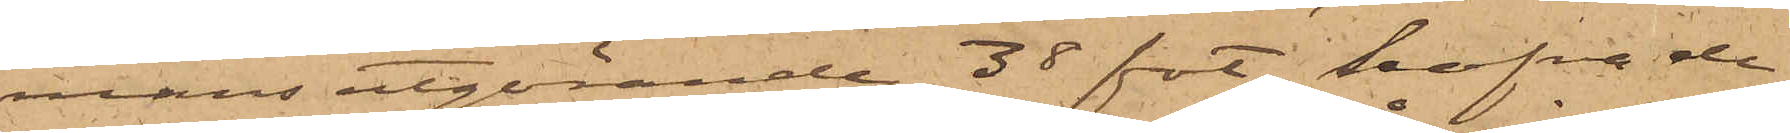mans utgörande 38 fot, hafva de
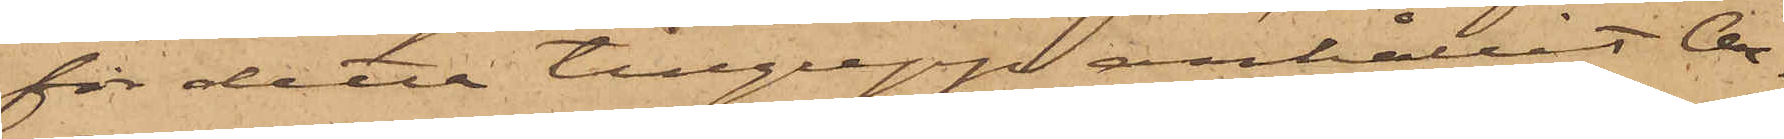för detta tillgrepp anhållit Ar¬
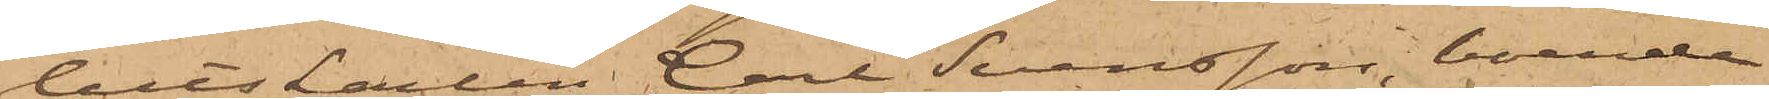betskarlen Carl Svensson, boende
